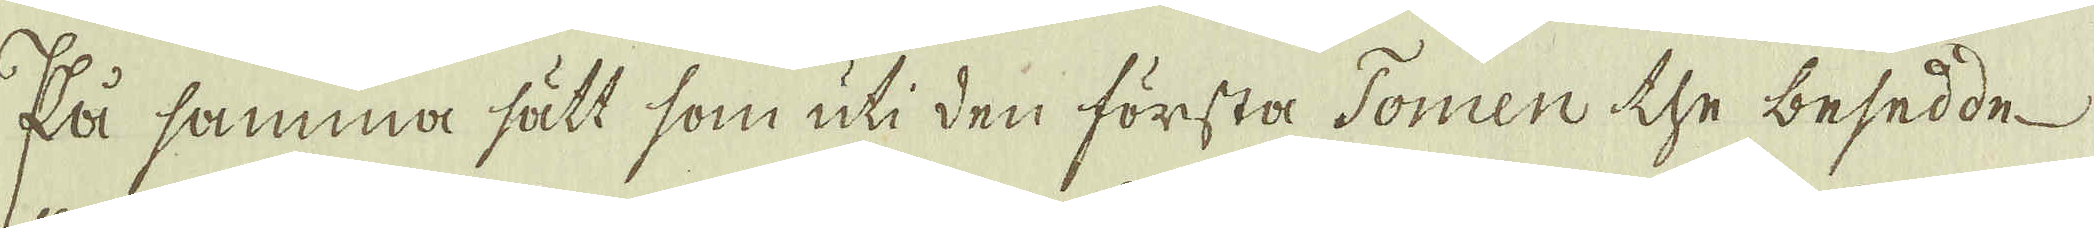På samma sätt som uti den första Tomen the besedde
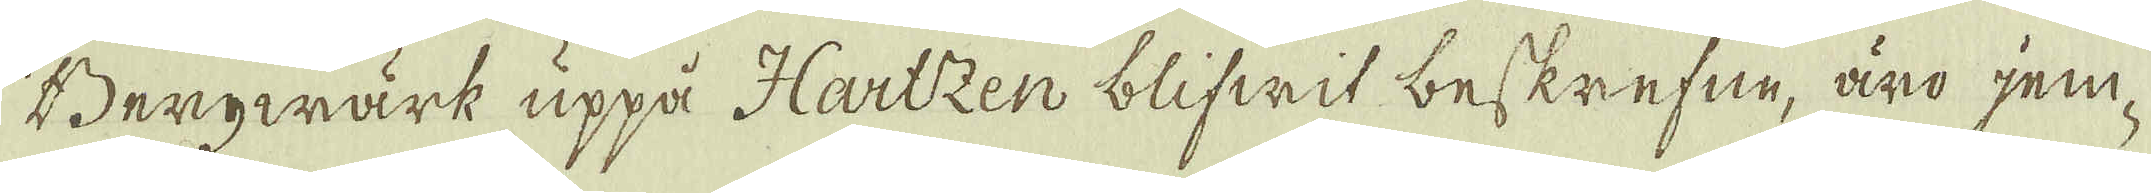Bergwärk uppå Hartzen blifwit beskrefne, äro jem-
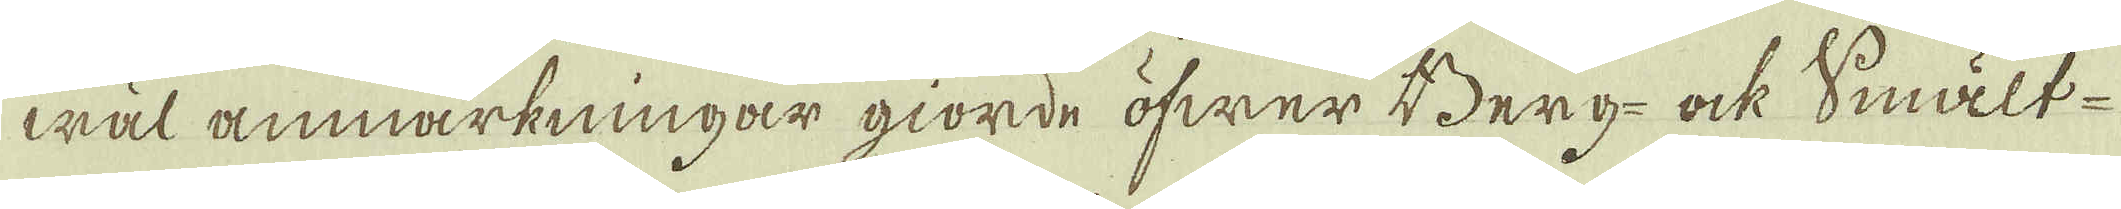wäl anmärkningar gjorde öfwer Berg- ock smält-
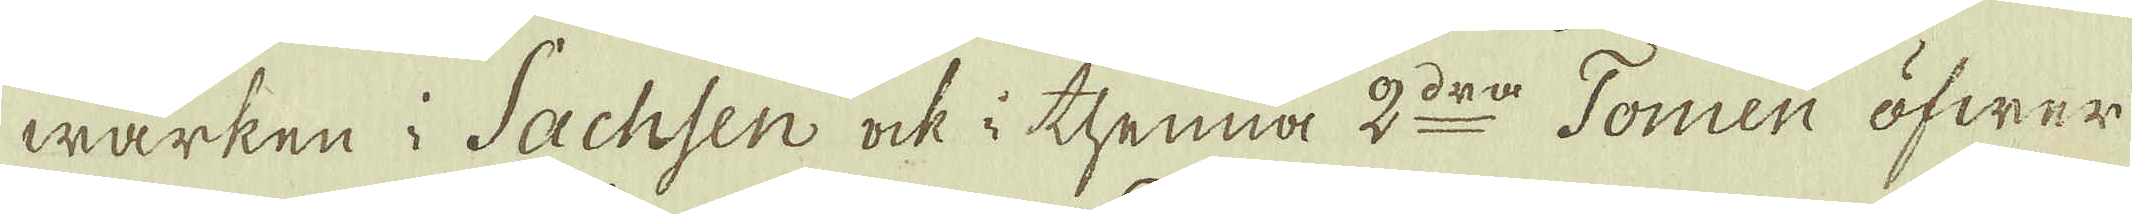wärken i Sachsen ock i thenna 2:do Tomen öfwer
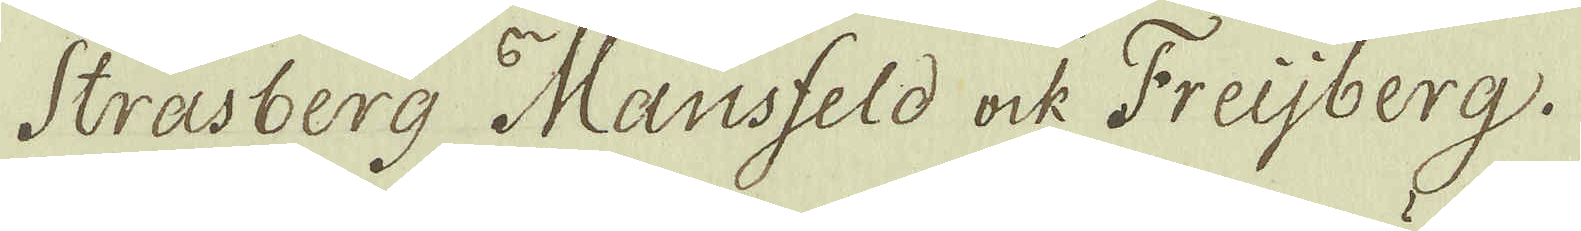Strasberg Mansfeld ock Freijberg.
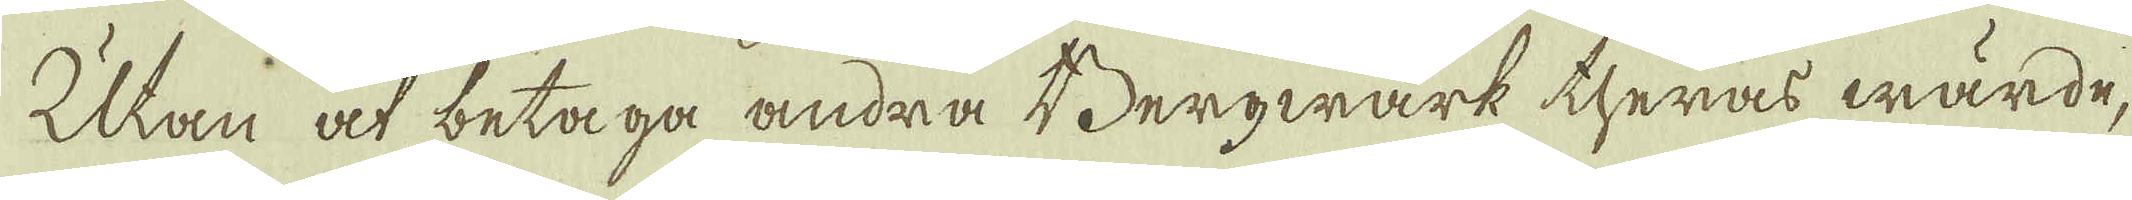Utan at betaga andra Bergwärk theras wärde,
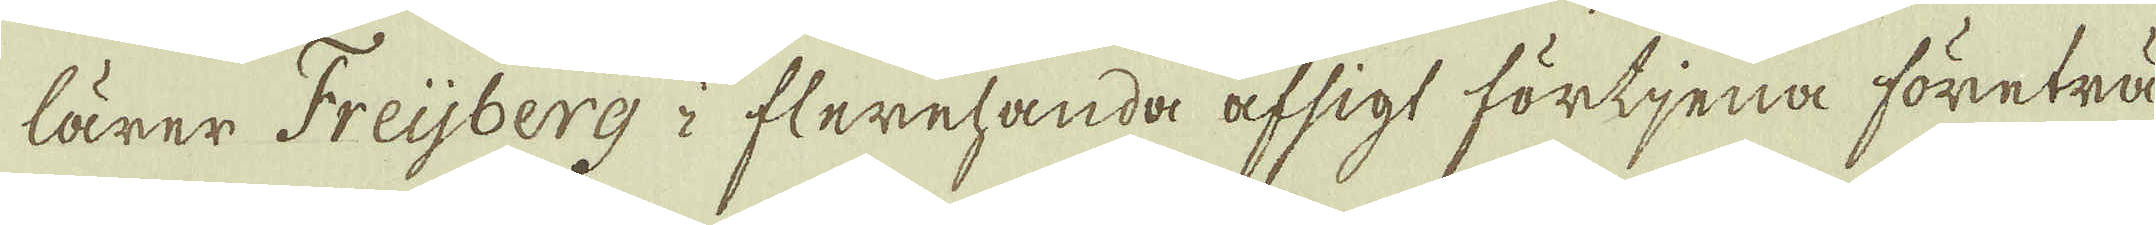lärer Freijberg i flerehanda afsigt förtjena företrä-
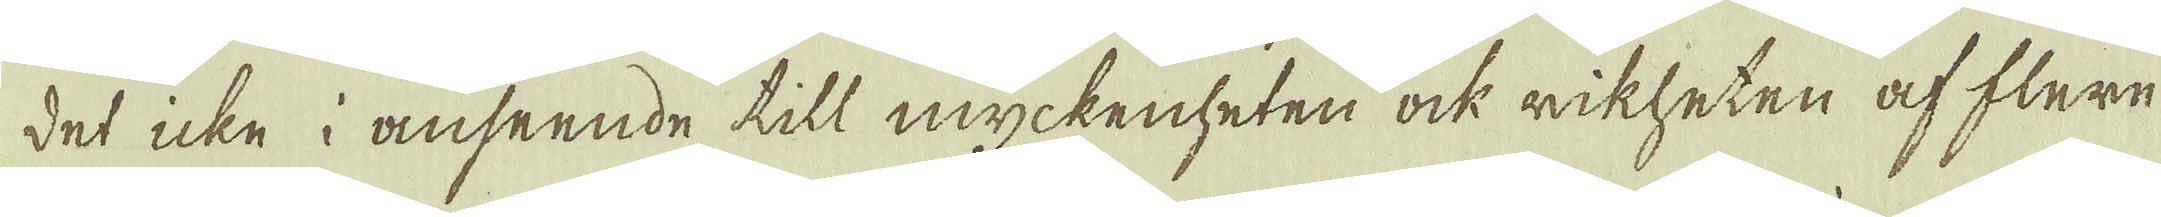det icke i anseende till myckenheten ock rikheten af flere
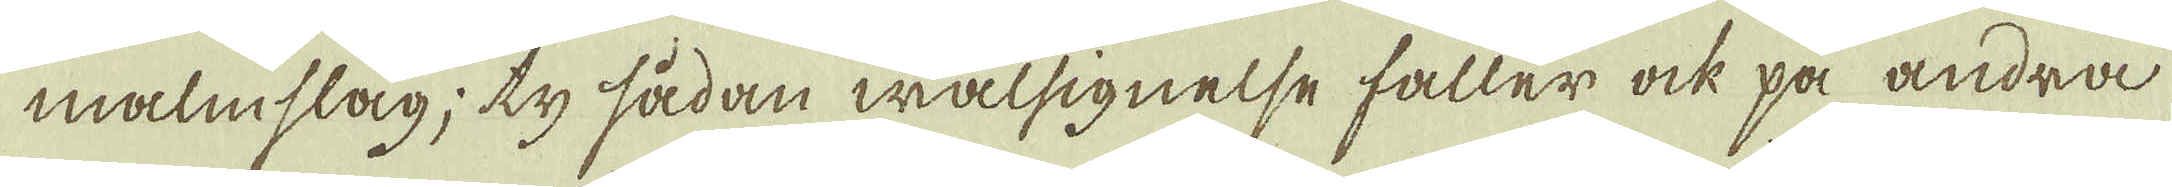malmslag; ty sådan wälsignelse faller ock på andra
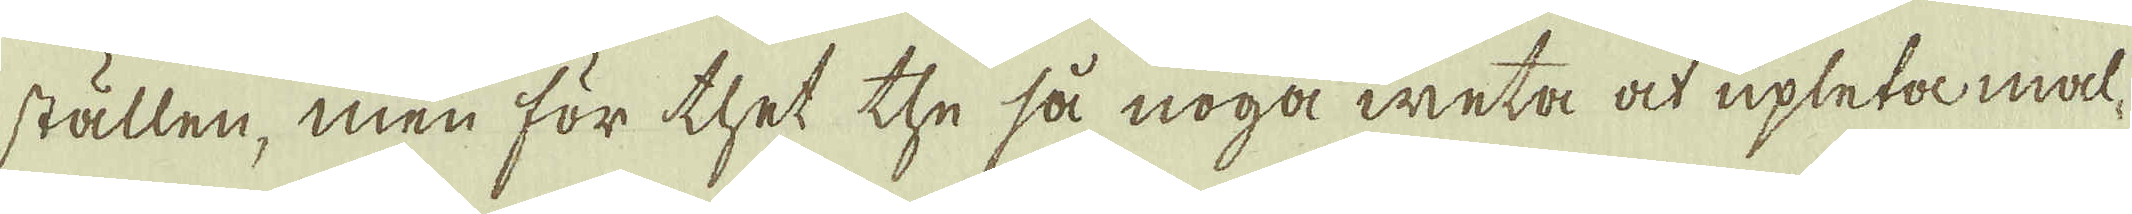ställen, men för thet the så noga weta at upleta mal-
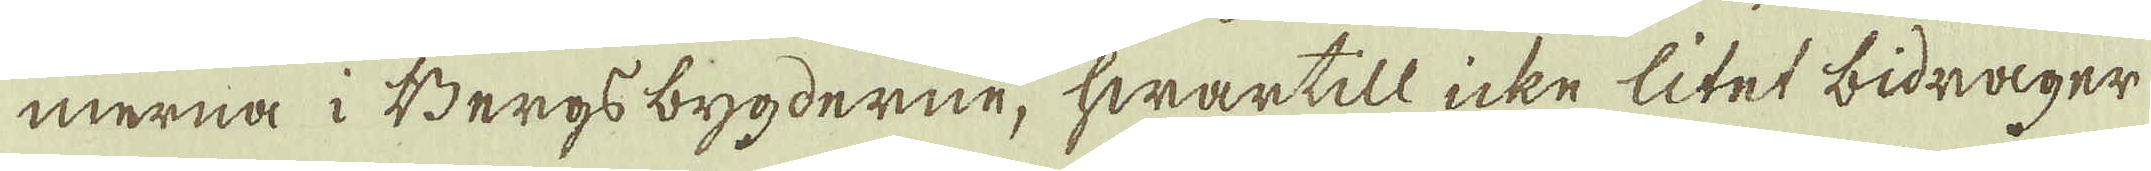merna i Bergs bygderne, hwartill icke litet bidrager
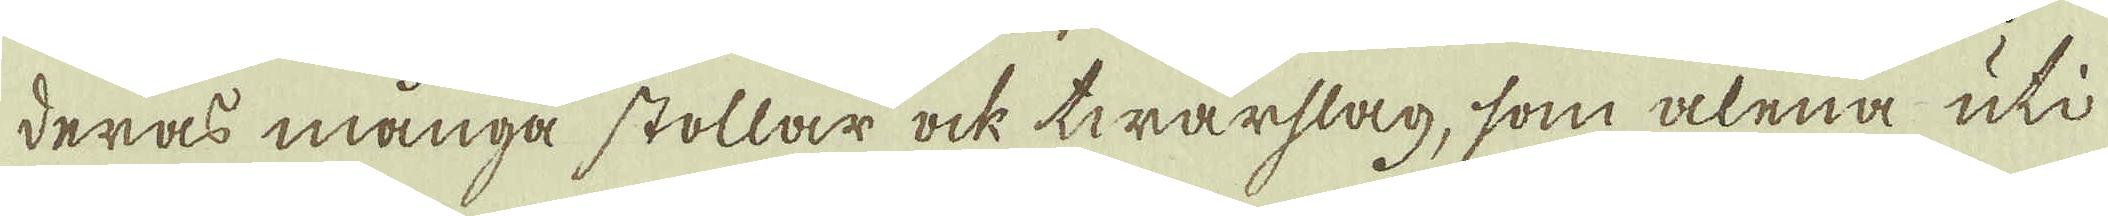deras många stollar ock twärslag, som alena uti
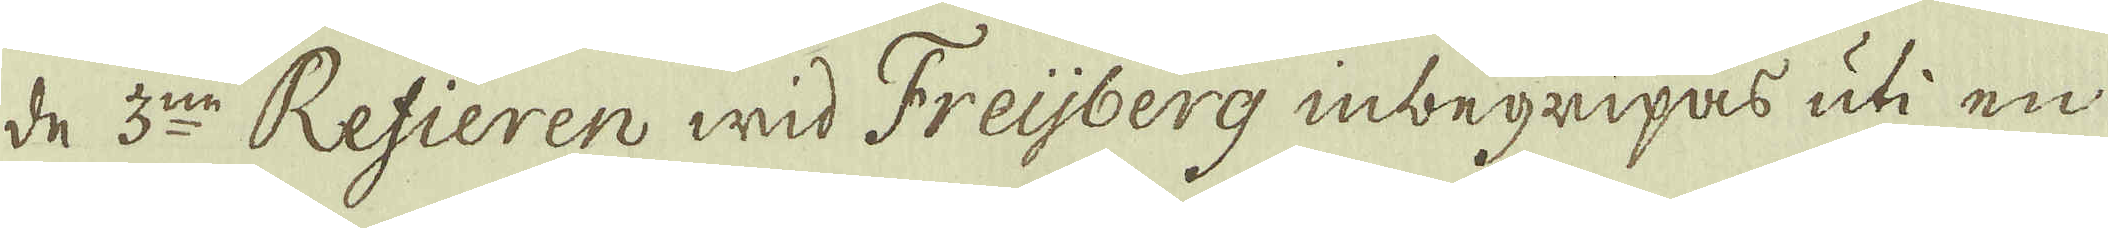de 3:no Refieren wid Freijberg inbegripas uti en
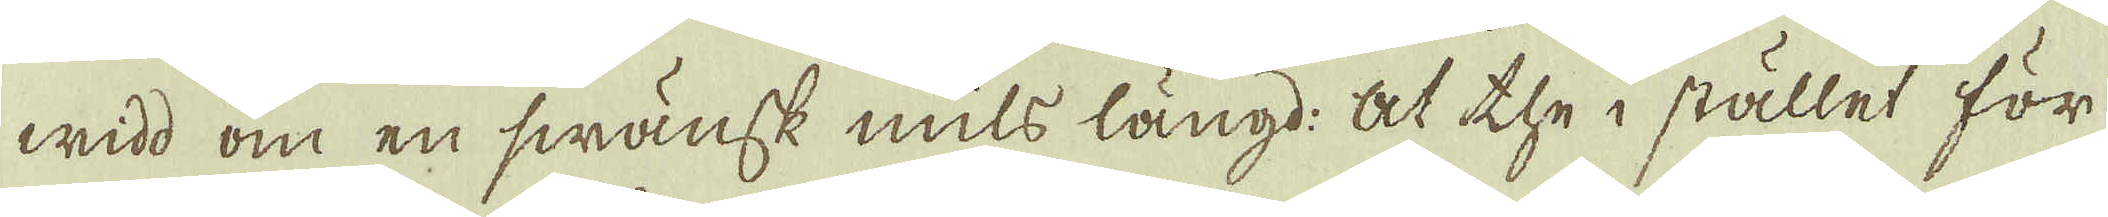widd om en swänsk mils längd: at the i stället för
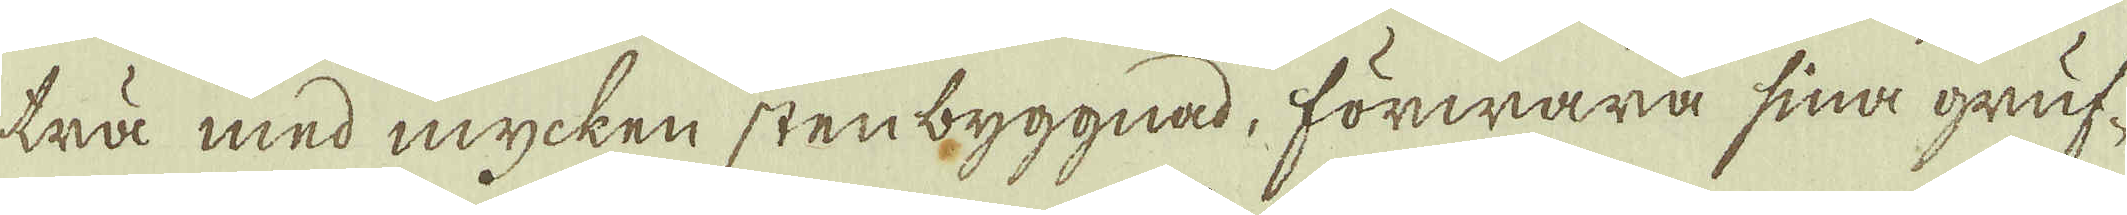trä med mycken stenbyggnad, förwara sina gruf-
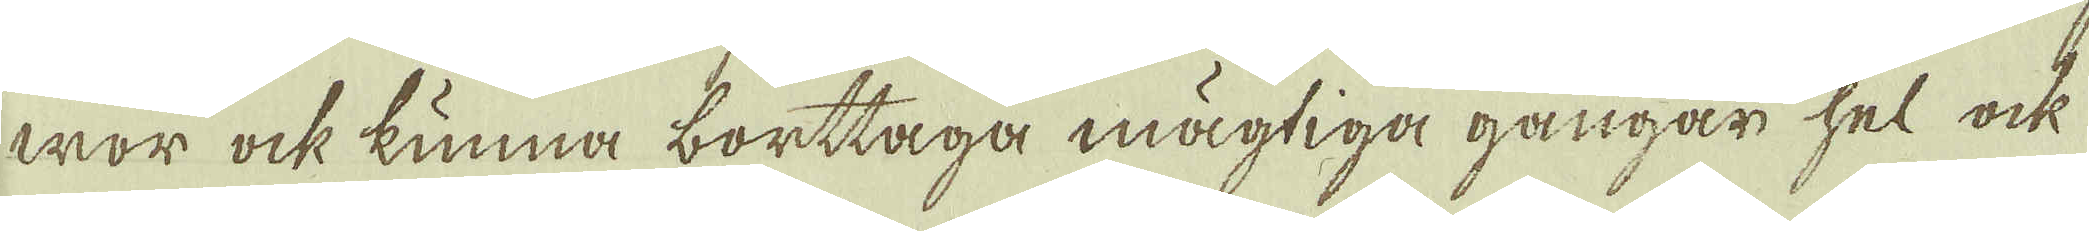wor ock kunna borttaga mägtiga gångar hel ock
